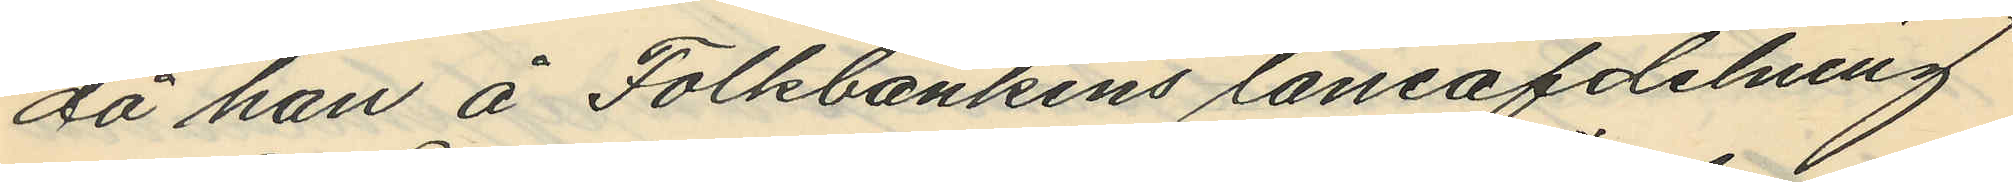då han å Folkbankens låneafdelning
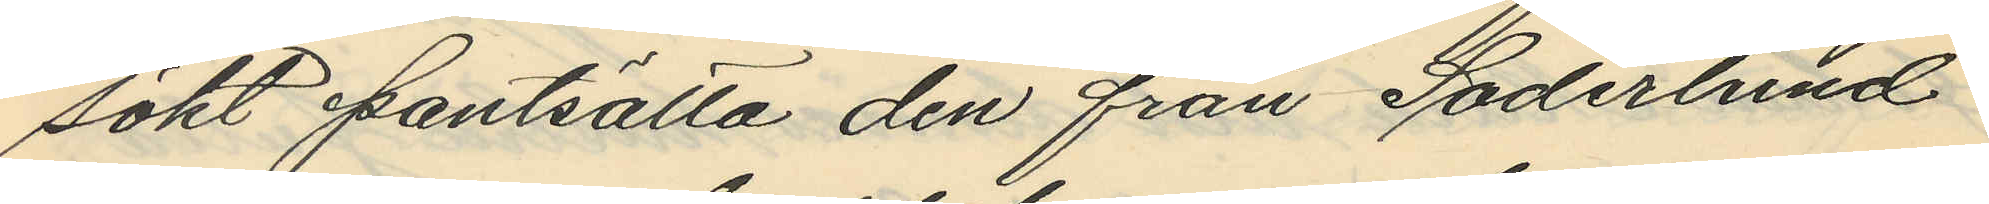sökt pantsätta den från Söderlind
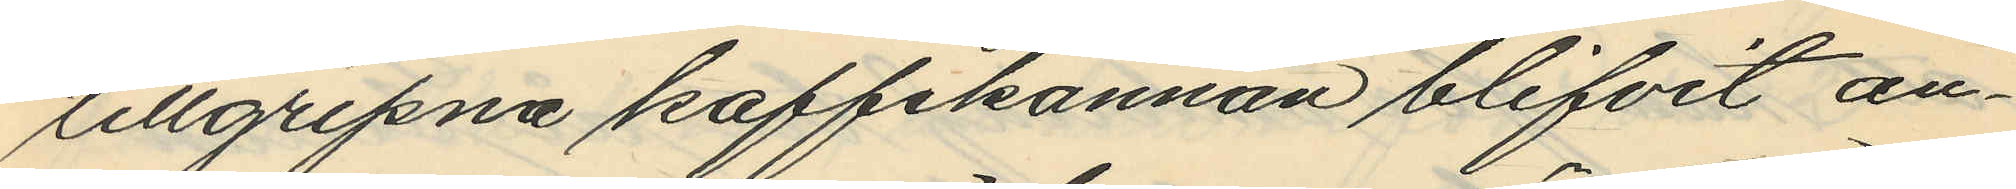tillgripna kaffekannan blifvit an¬
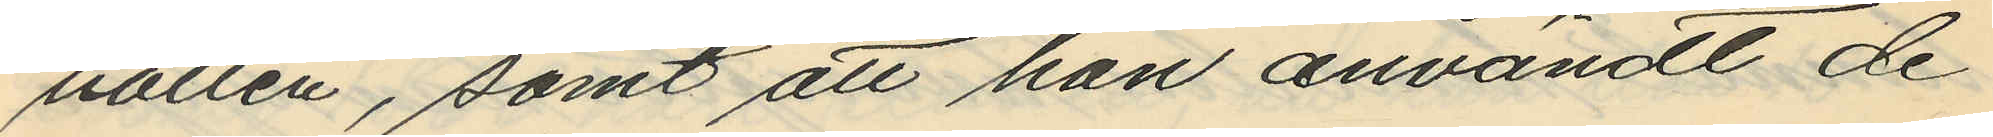hållen, samt att han användt de
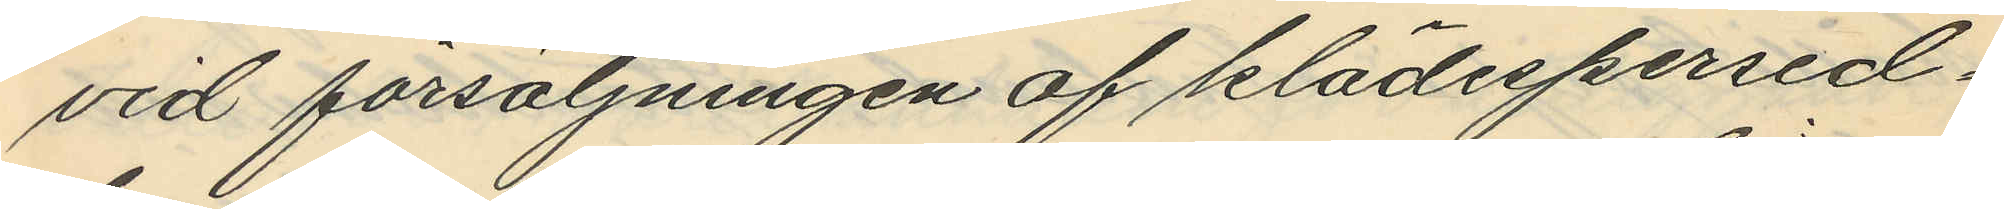vid försäljningen af klädespersed¬
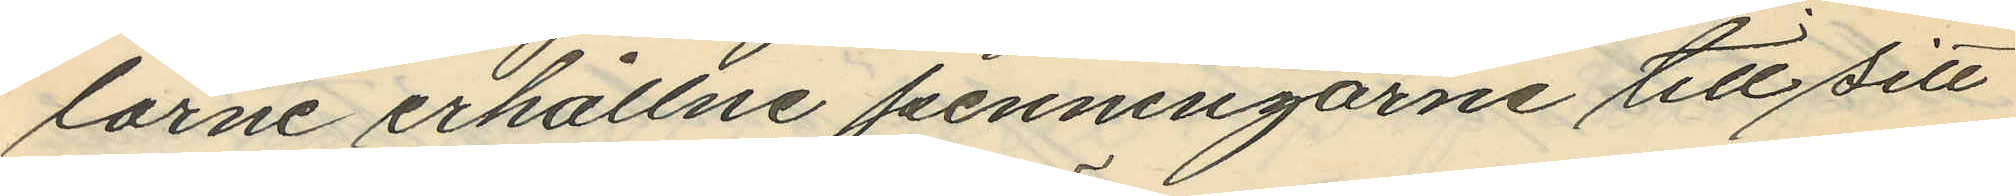larne erhållne penningarne till sitt
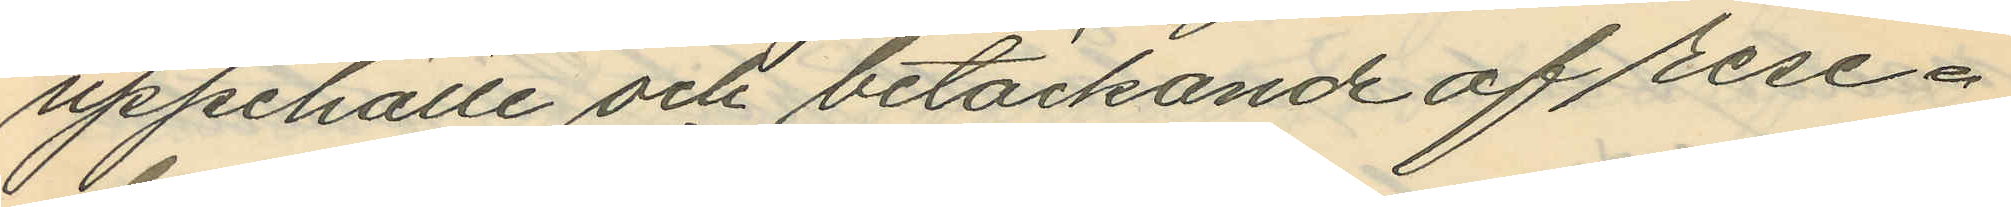uppehälle och betäckande af rese¬
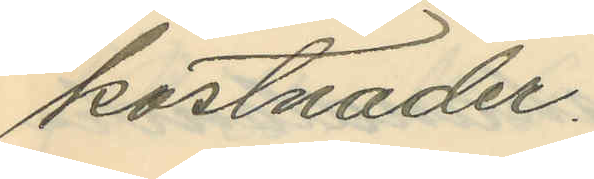kostnader.
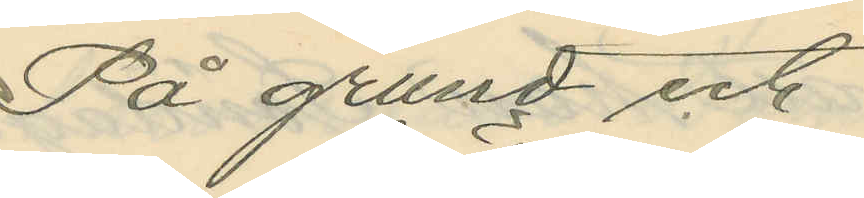På grund et.
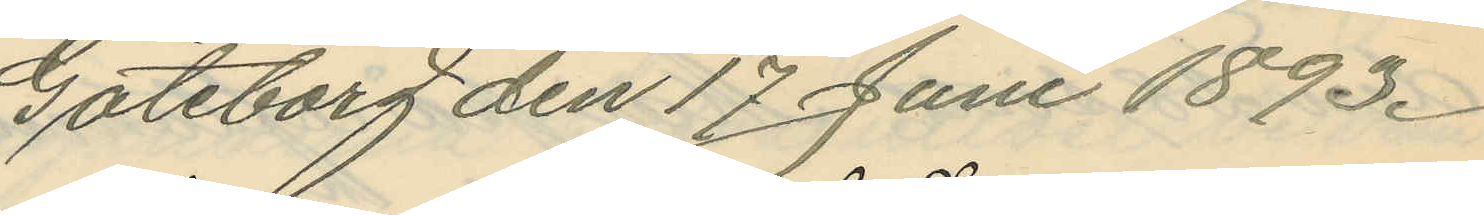Göteborg den 17 Juni 1893.
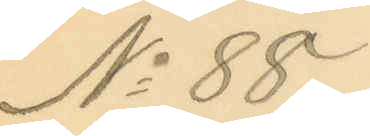No 88.
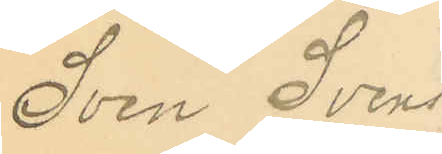Sven Svens¬
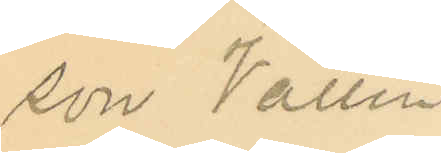son Vallin
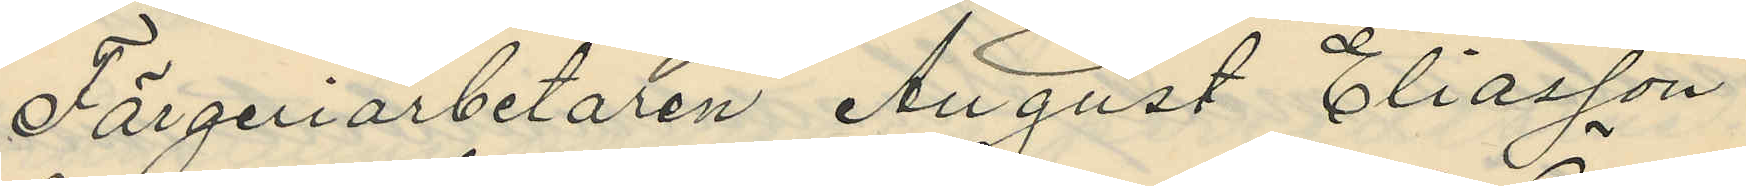Färgeriarbetaren August Eliasson
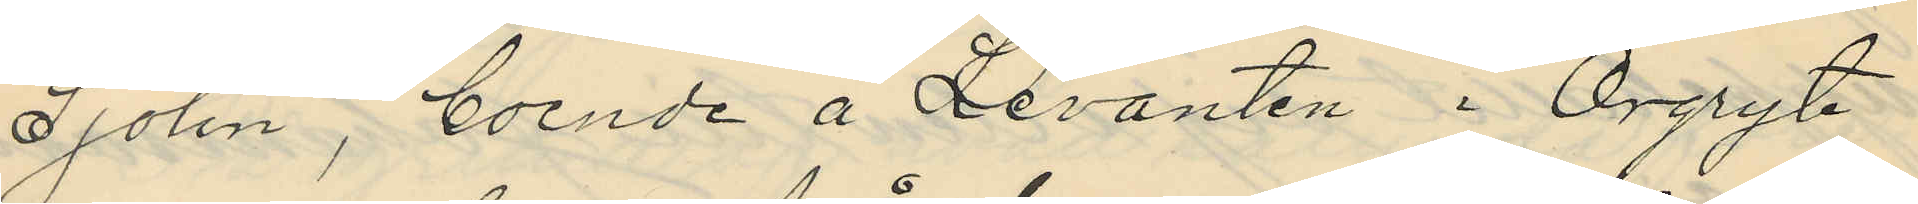Sjölin, boende å Levanten i Örgryte
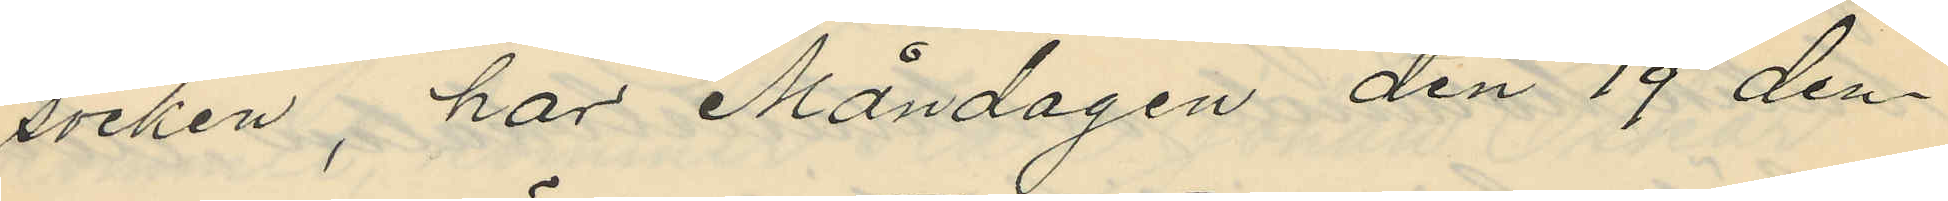socken, har Måndagen den 19 den¬
